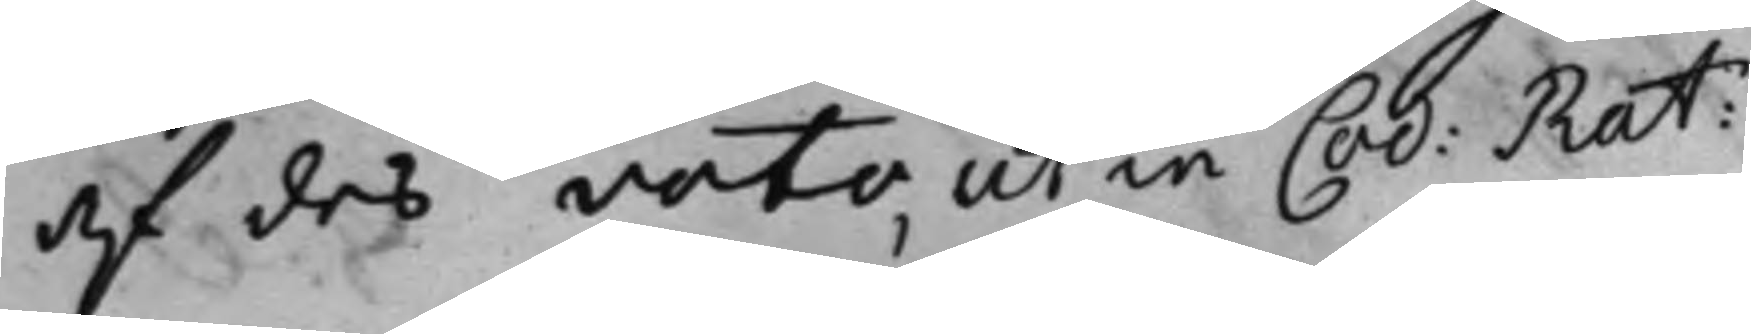af des voto, ut in Cod: Rat:
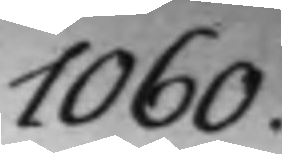1060.
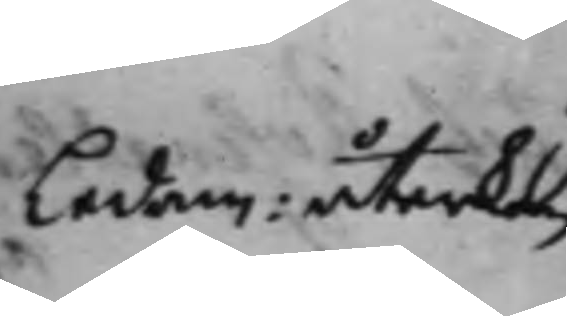Ledam: återkom
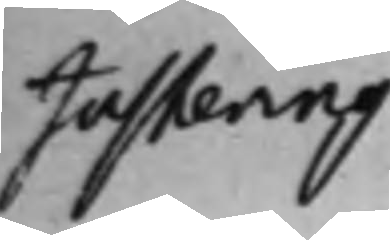Justering
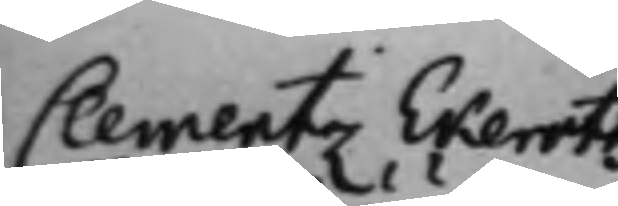Clementz Ekeroths
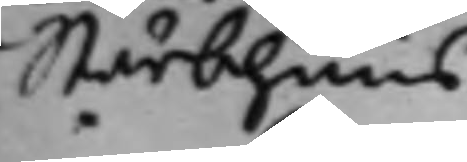Stärbhuus
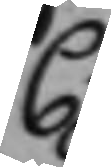C:
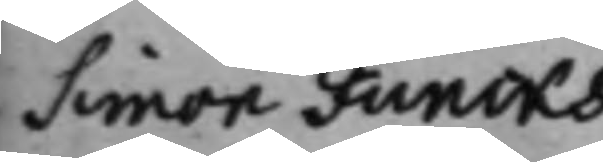Simon Funcks
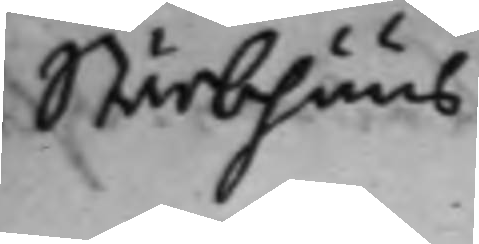Stärbhuus.
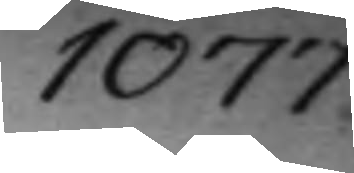1077.
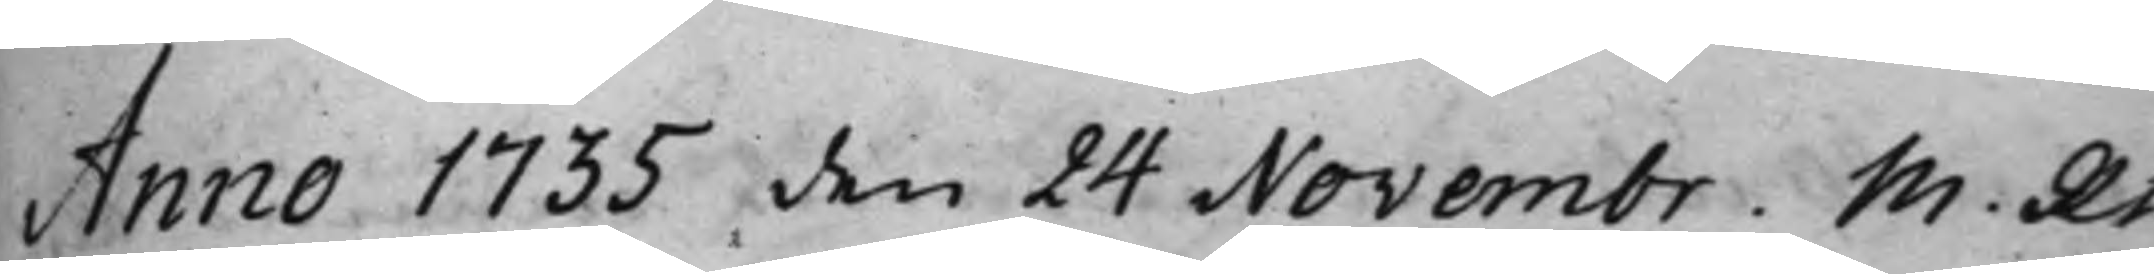Anno 1735 den 24 Novembr. M. Rt 
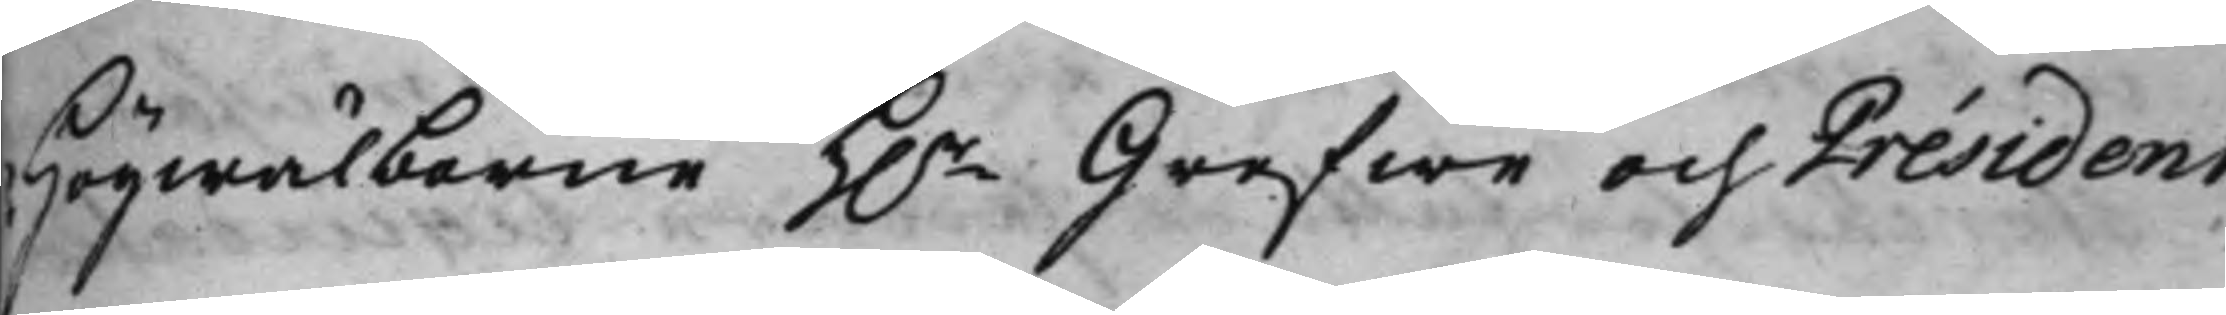Högwälborne h.r Grefwe och Président 
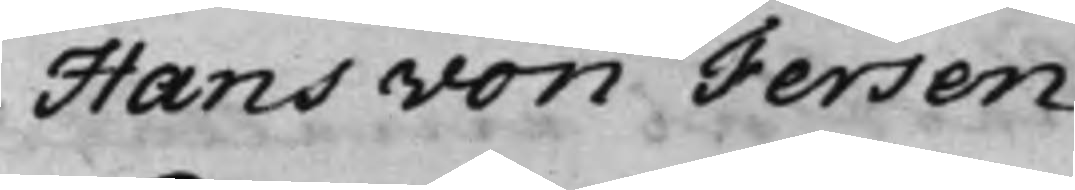Hans von Fersen
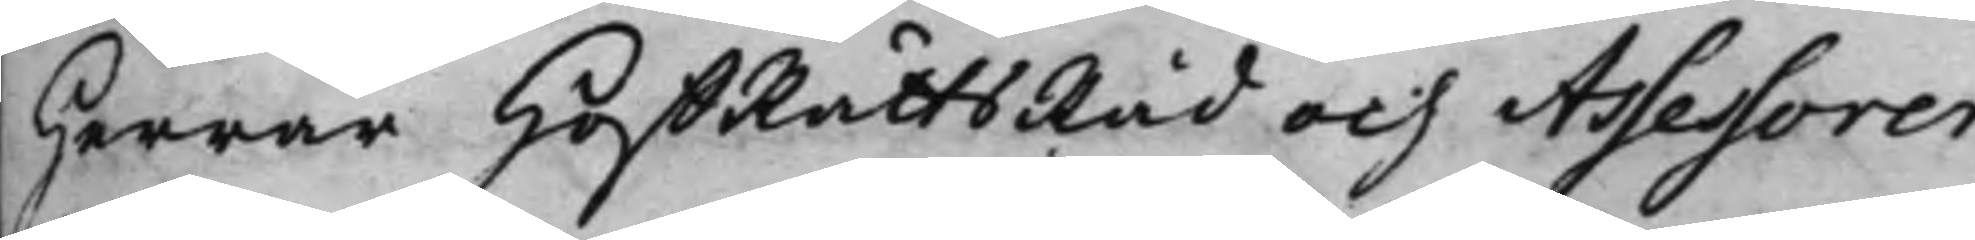Herrar HoffRättsRåd och Assessorer
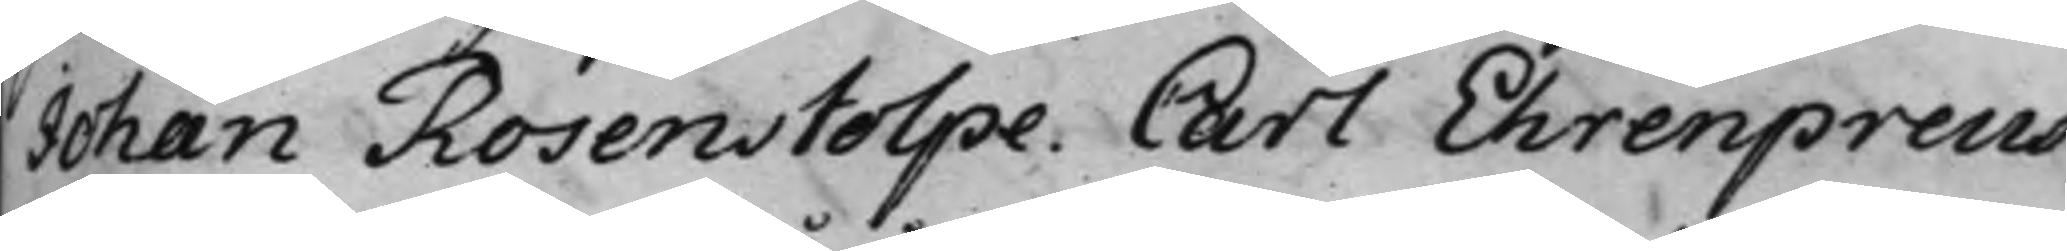Johan Rosenstolpe. Carl Ehrenpreus.
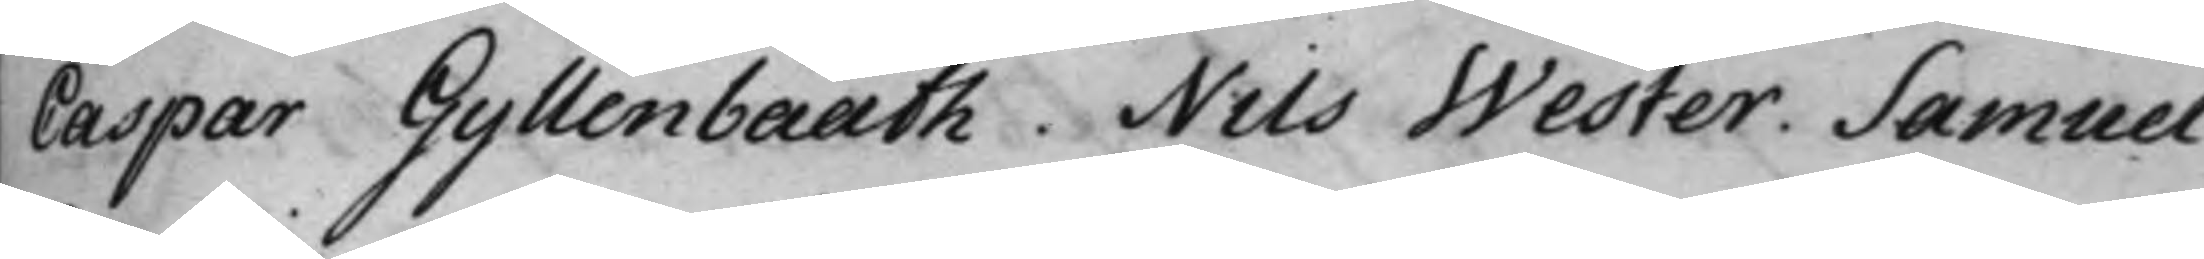Caspar Gyllenbååth, Nils Wester. Samuel
